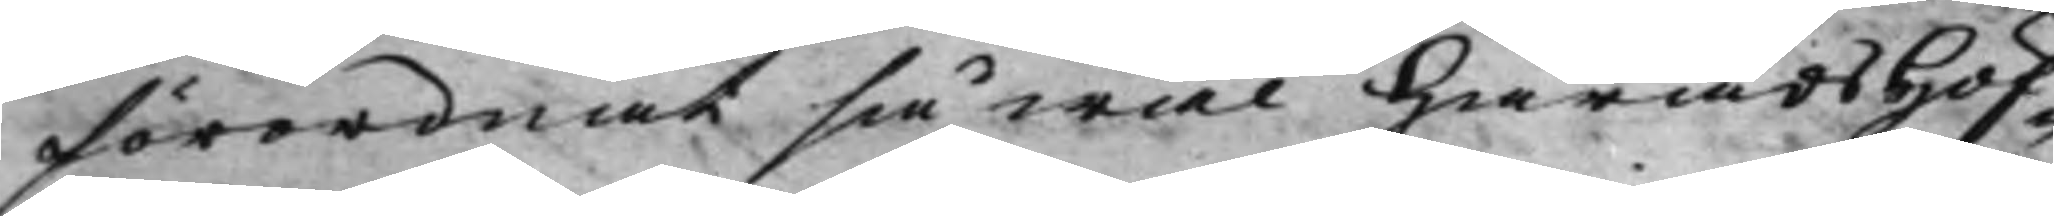förordnat såwäl HäradsHöf¬
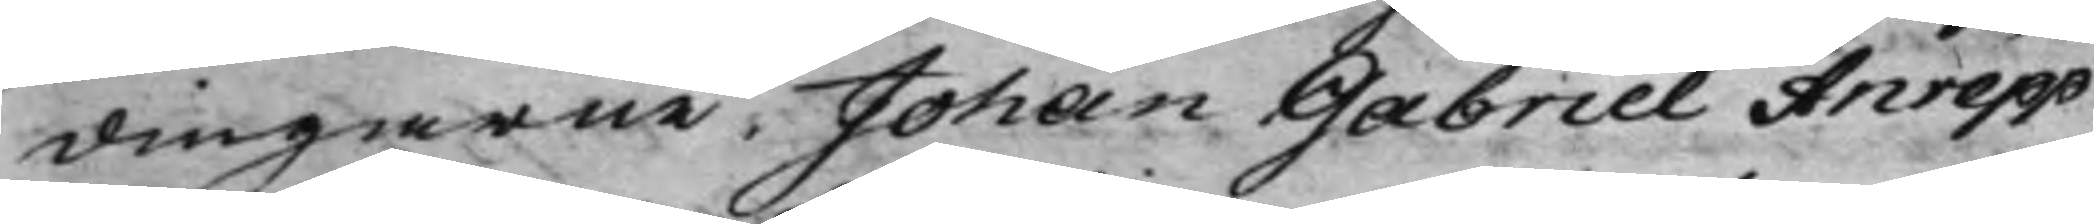dingarne Johan Gabriel Anrepp
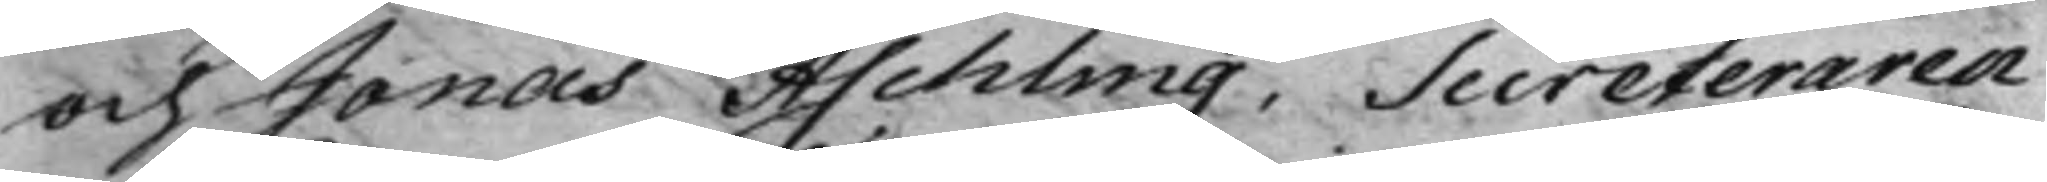och Jonas Aschling, Secreteraren
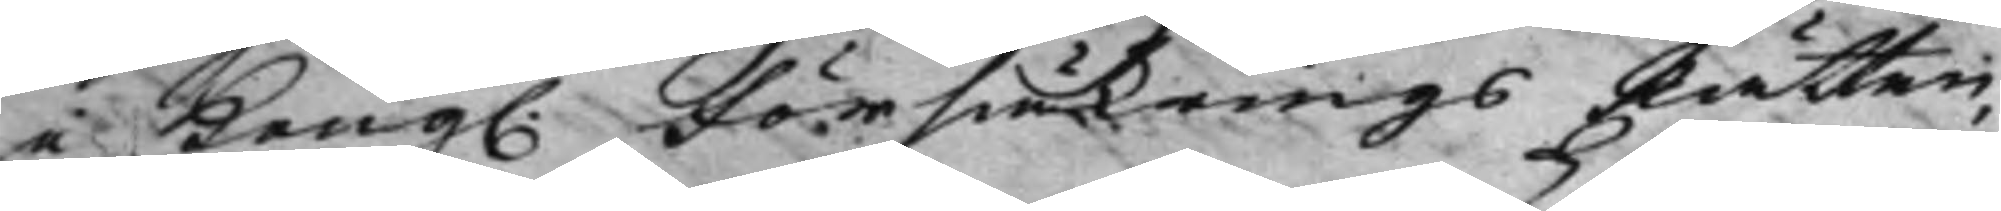i Kong. FörsäkringsRätten, 
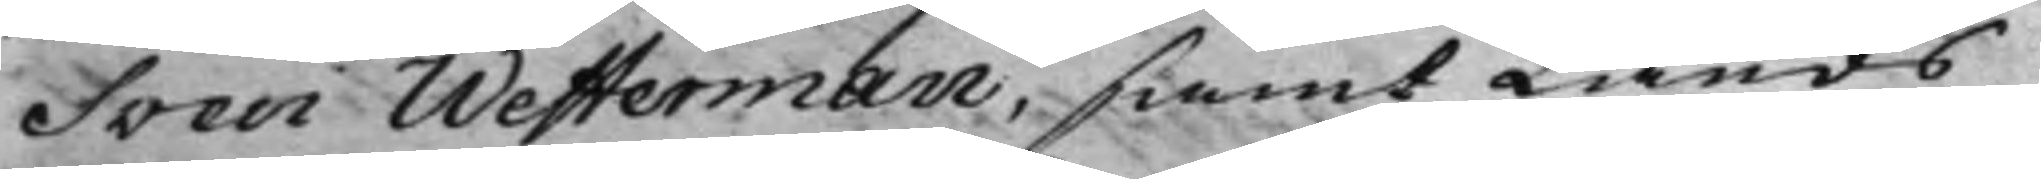Sven Westerman, samt Lands
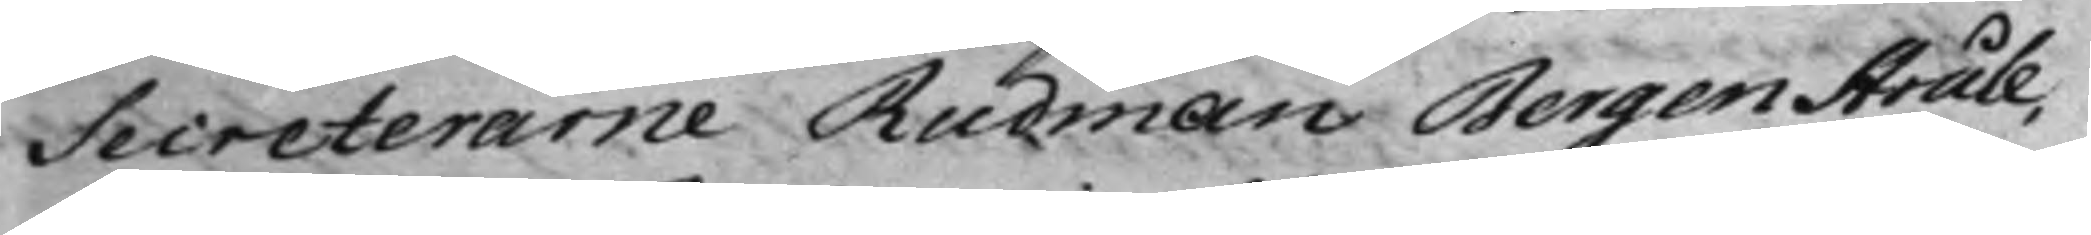Secreterarne Rudman BergenStråle,
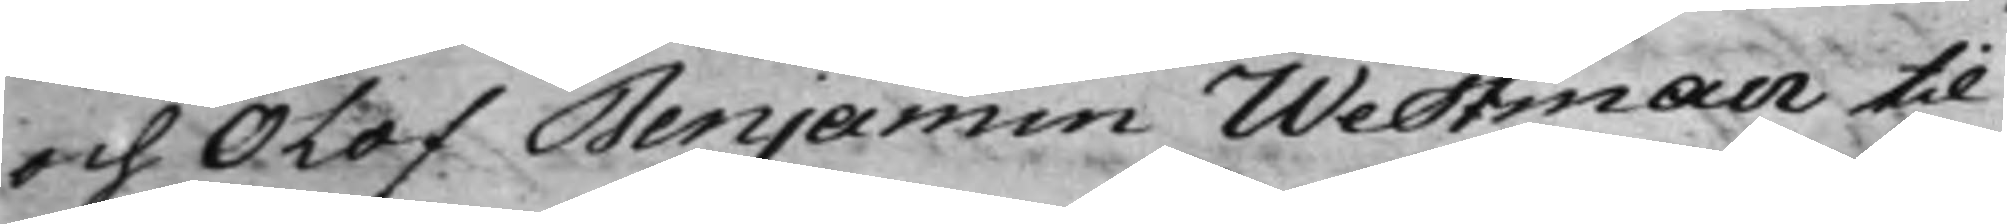och Olof Benjamin Westman til
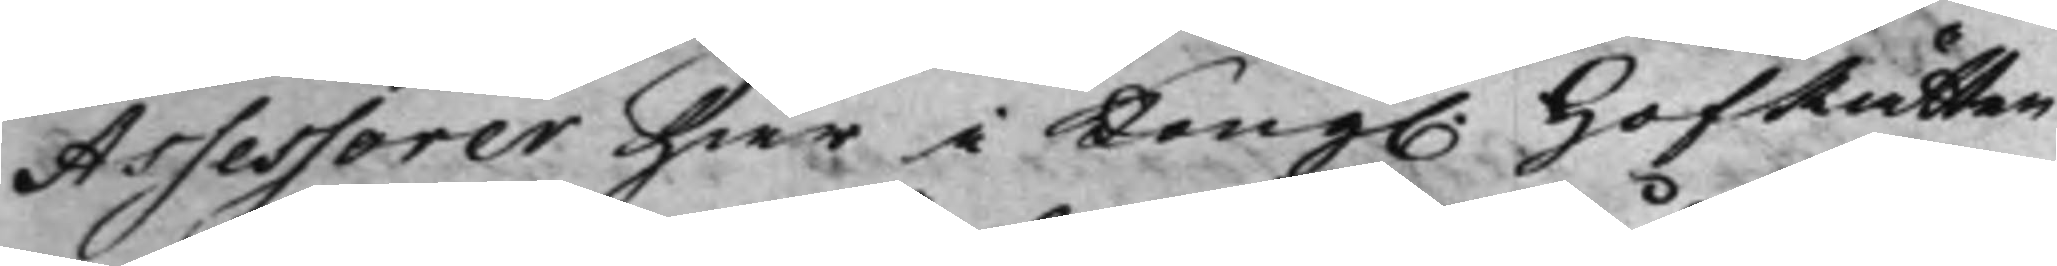Assessorer här i Kong. HofRätten 
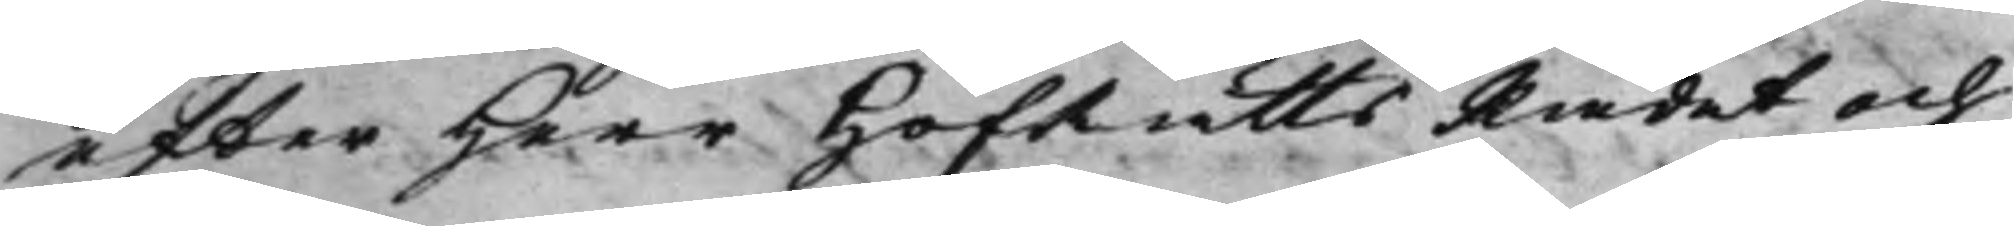efter Herr HofRättsRådet och
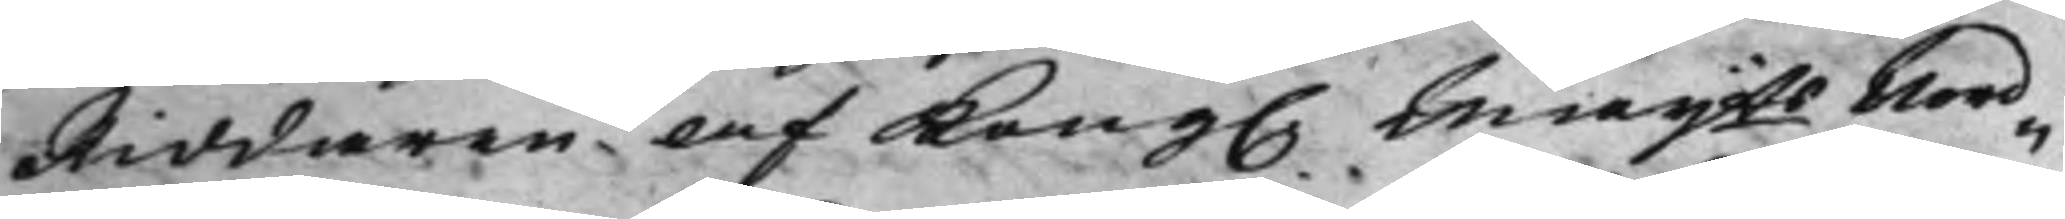Riddaren af Kong. Maijtts Nord¬ 
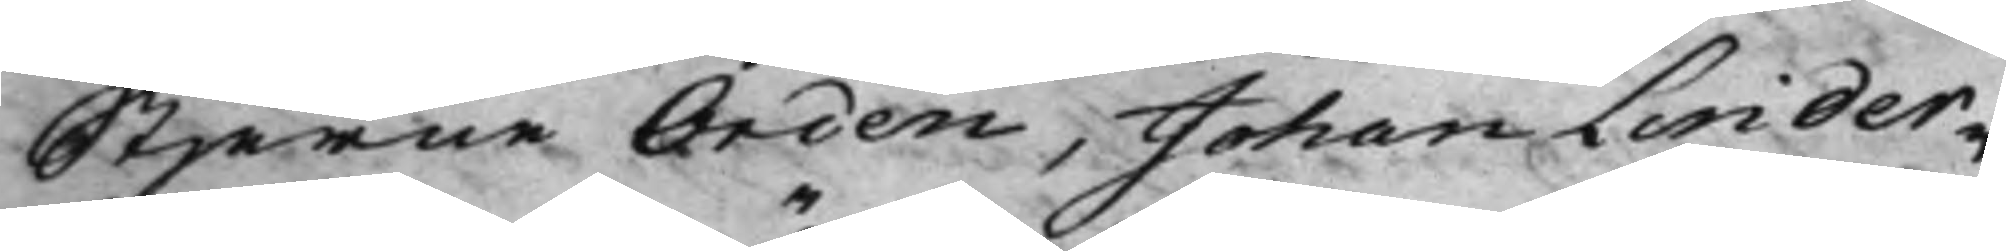Stjerne Orden, Johan Linder¬
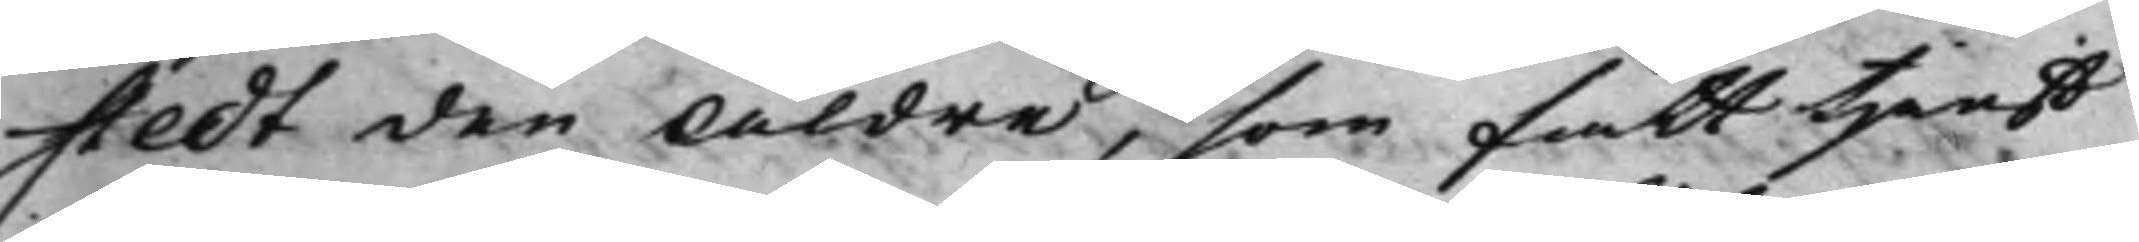stedt den Äldre, som fått tjenst¬
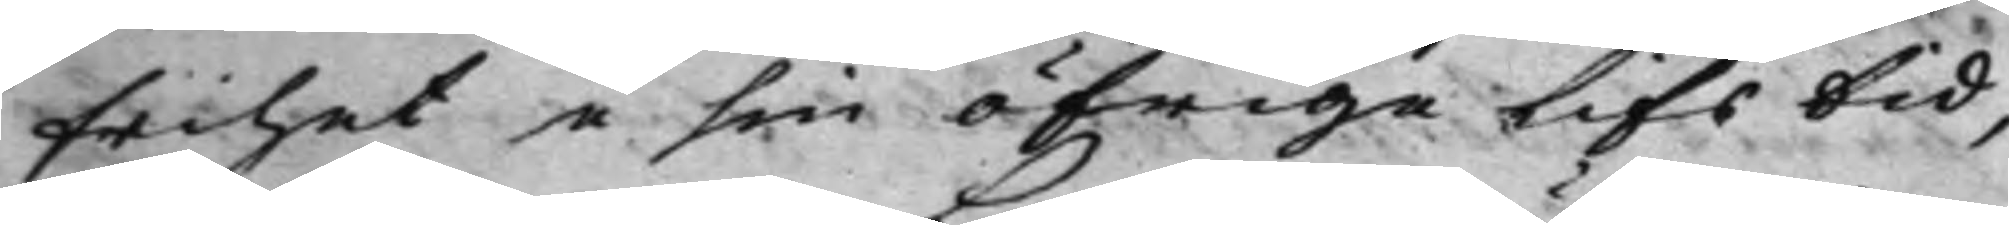frihet i sin öfrige lifs tid,
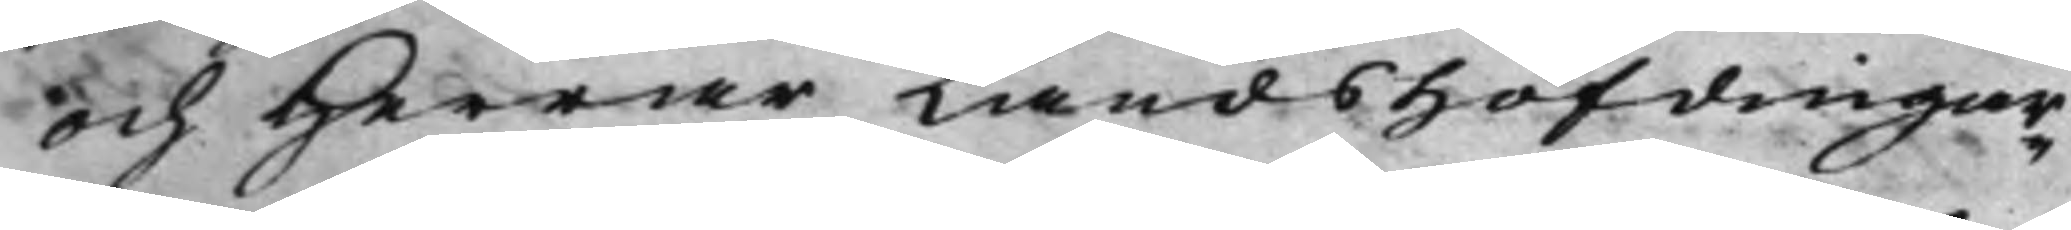och Herrar Landshöfdingar¬
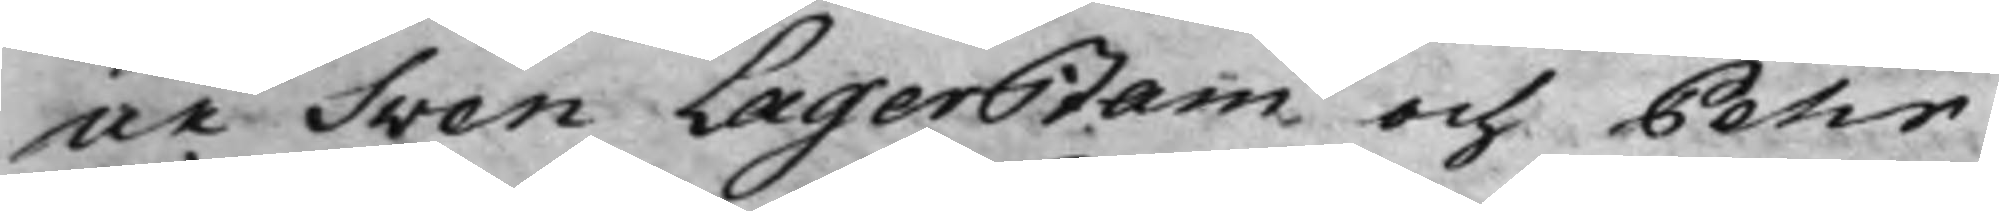ne Sven Lagerstam och Pehr
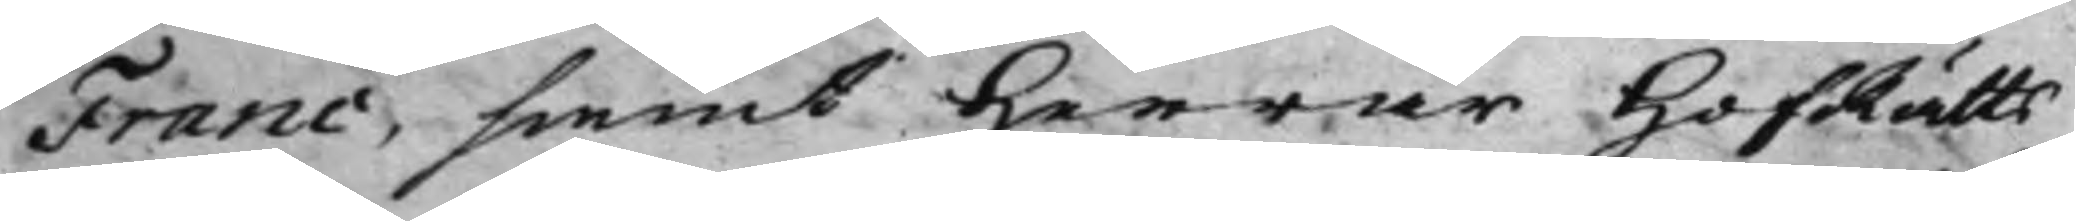Franc, samt Herrar HofRätts¬
